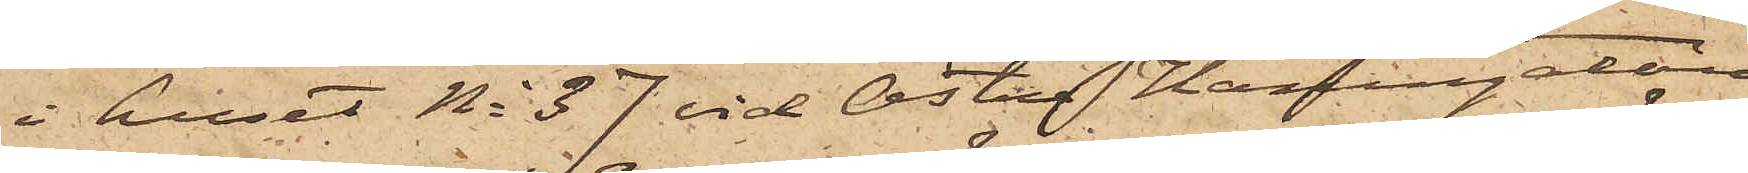i huset No 37 vid Östra Hamngatan,
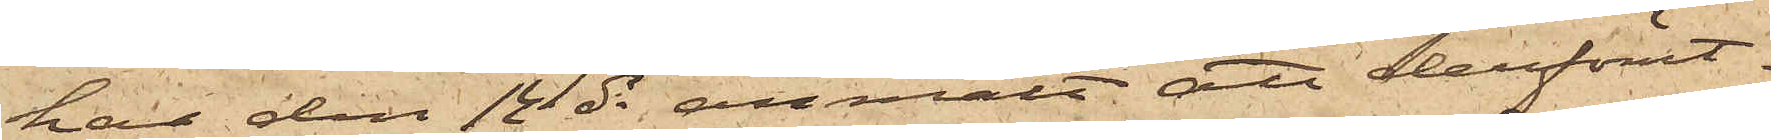har den 12 ds anmält att derförut¬
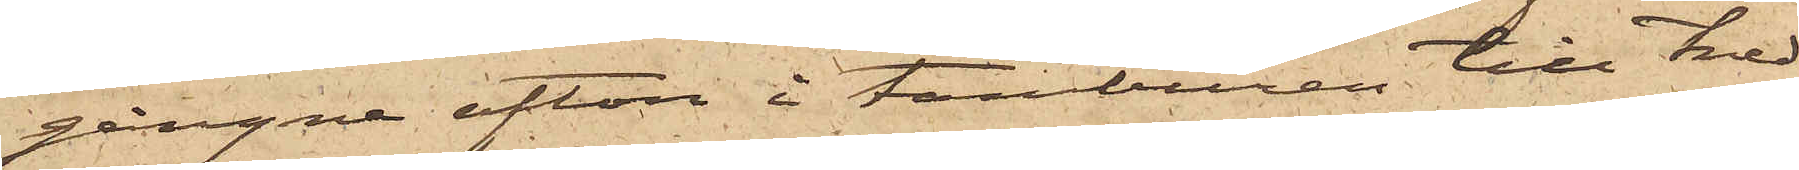gångne afton i tamburen till tred¬
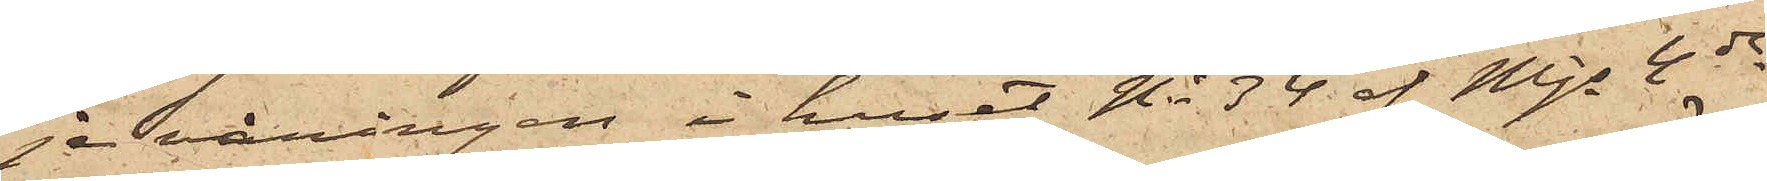je våningen i huset No 34 af Mjs 4de
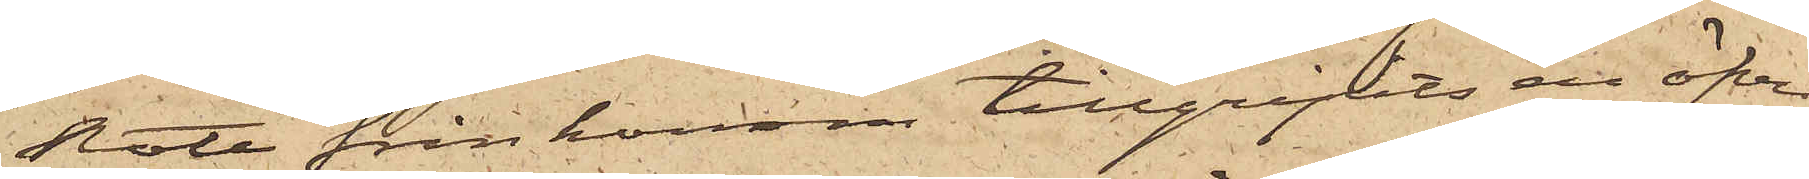Rote från honom tillgripits en öfver¬
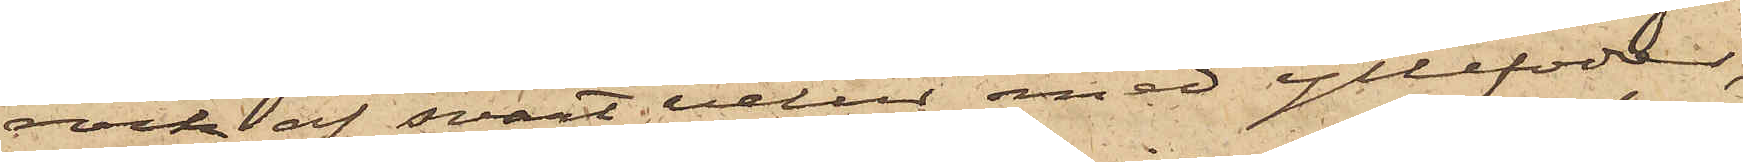rock af svart velur med yllefoder,
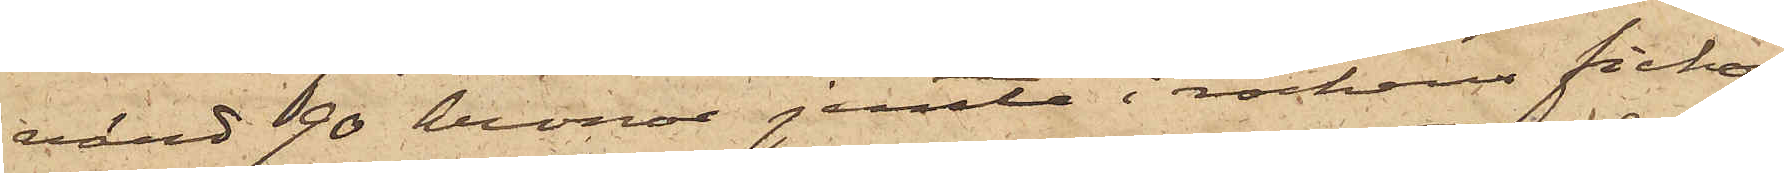värd 90 kronor jemte i rockens fickor
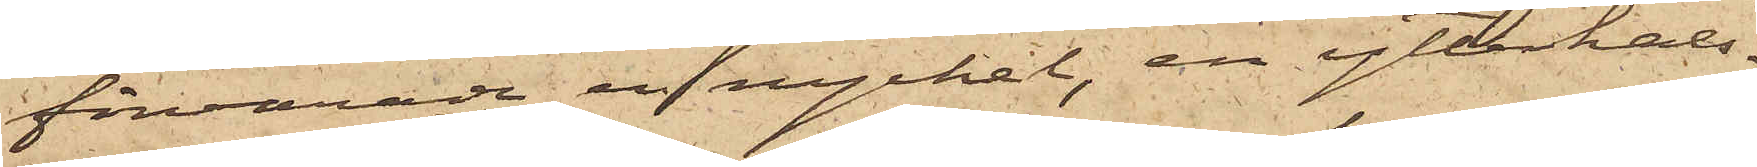förvarade en nyckel, en ytterhals¬
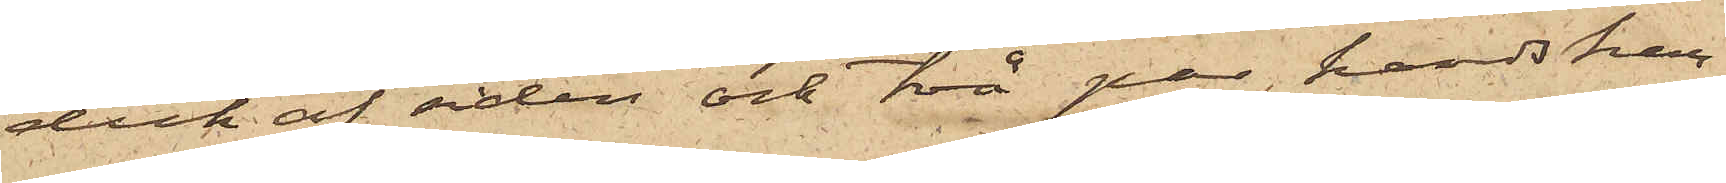duk af siden och två par handskar.
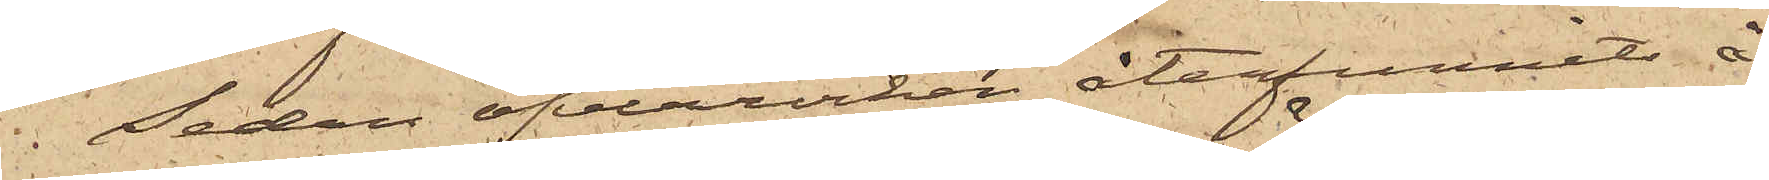Sedan öfverrocken återfunnits å
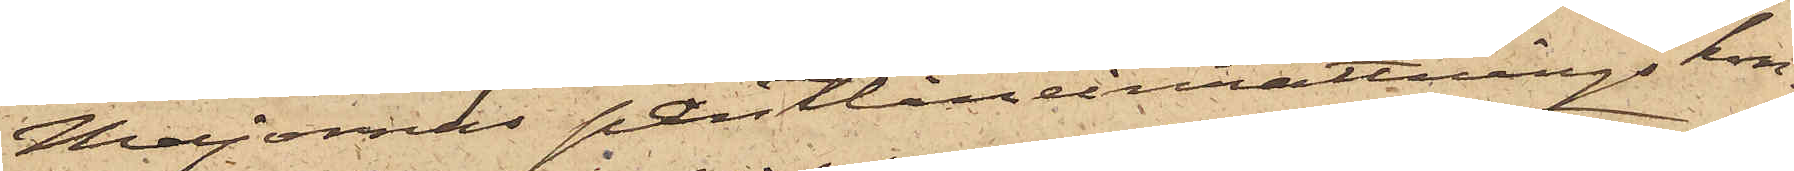Majornas Pantlåneinrättnings kon¬
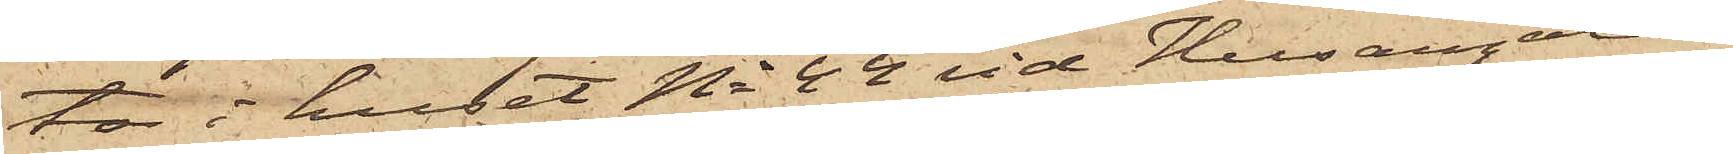tor i huset No 44 vid Husargatan,
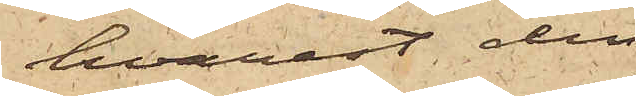hvarest den
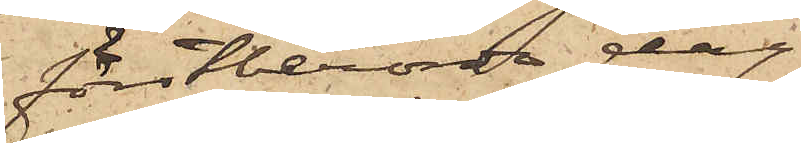förstberörde dag
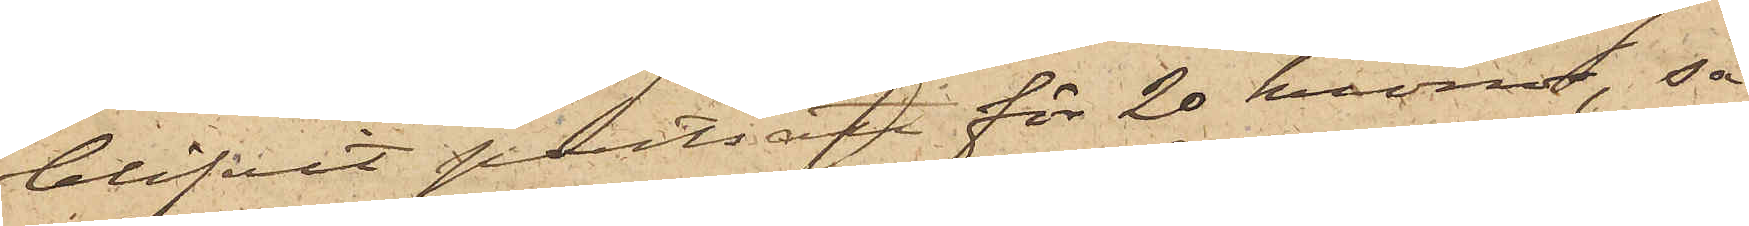blifvit pantsatt för 20 kronor, så
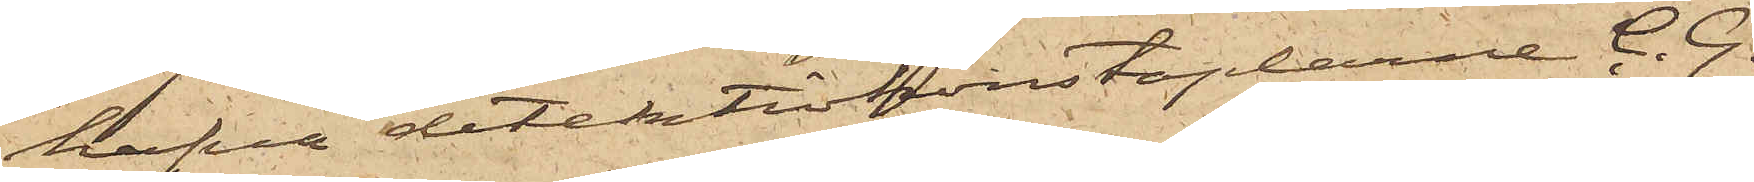hafva detektivkonstaplarne C. G.
